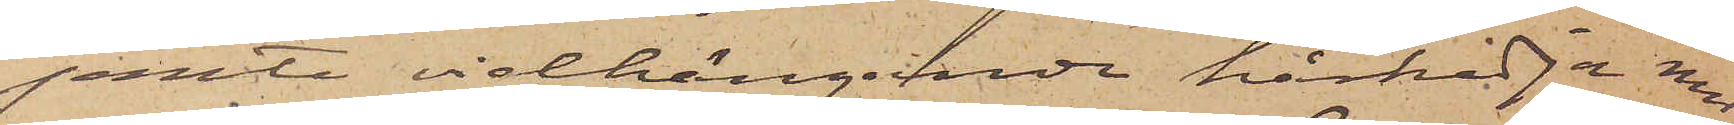jemte vidhängande hårkedja med
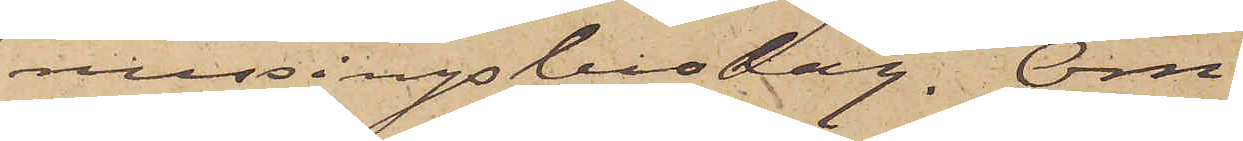messingsbeslag. Om
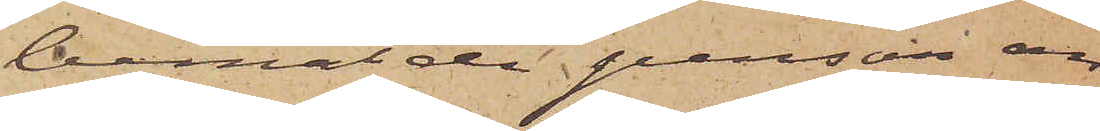bemälde person an¬
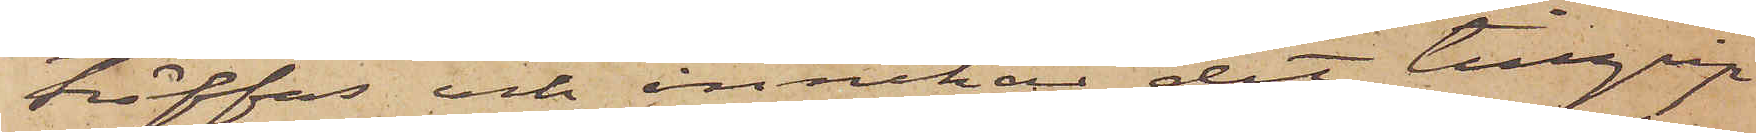träffas och innehar det tillgrip¬
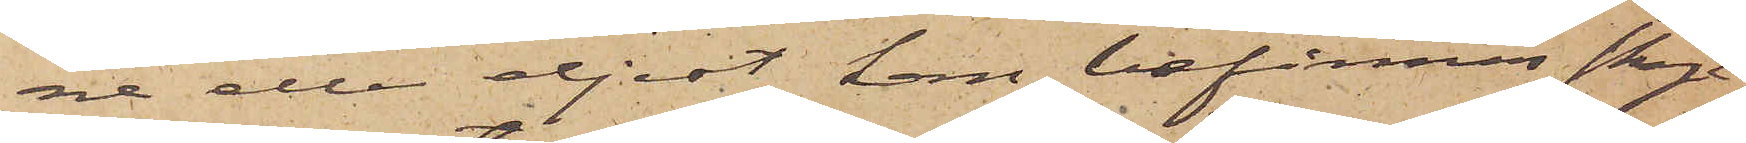ne eller eljest kan befinnas skyl¬
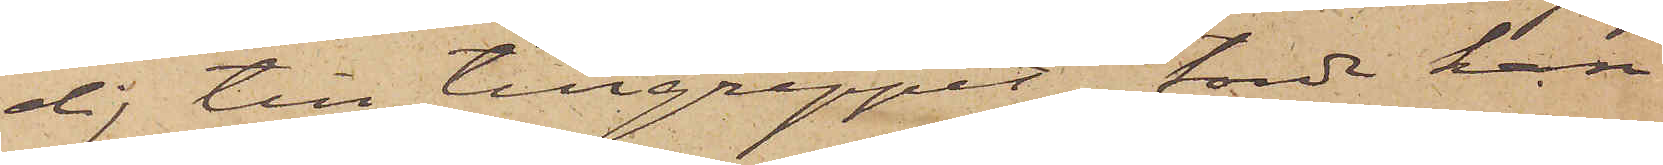dig till tillgreppet, torde han
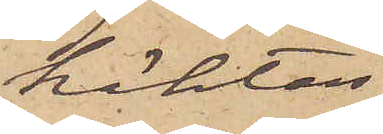häktas.
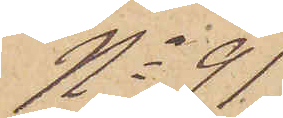No 91
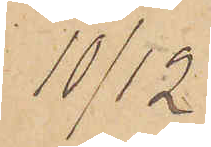10/12
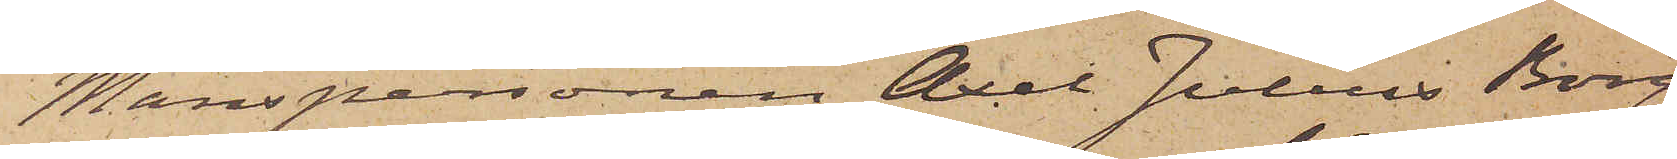Manspersonen Axel Julius Borg,
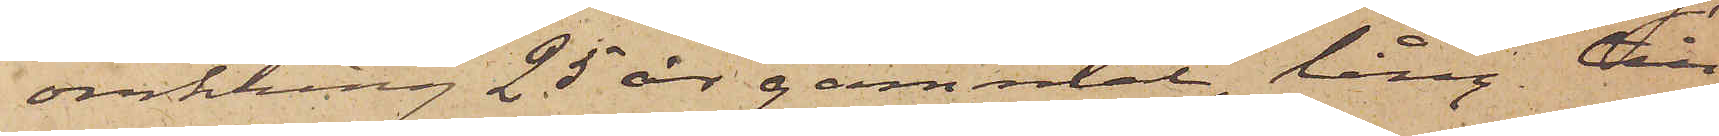omkring 25 år gammal, lång till
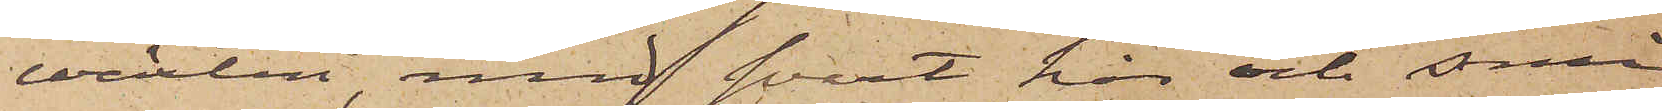växten, med svart hår och små
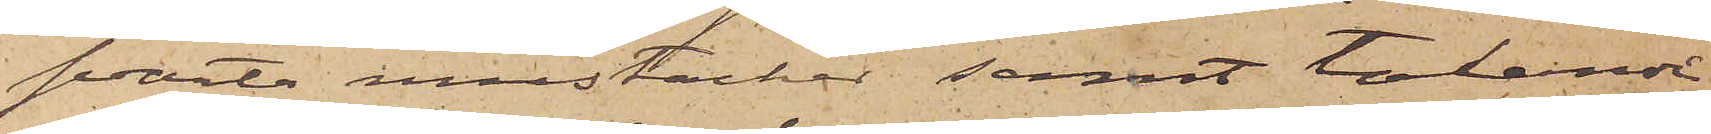svarta mustacher samt talande
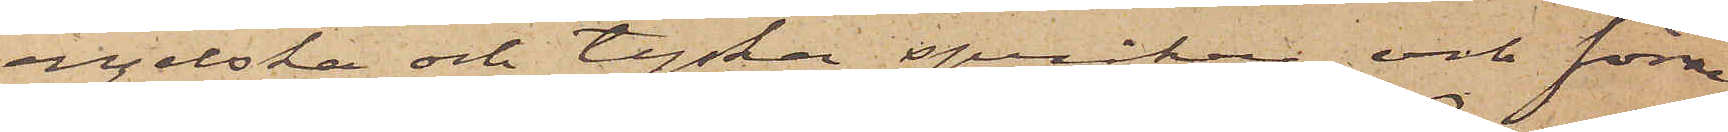engelska och tyska språken, och förre
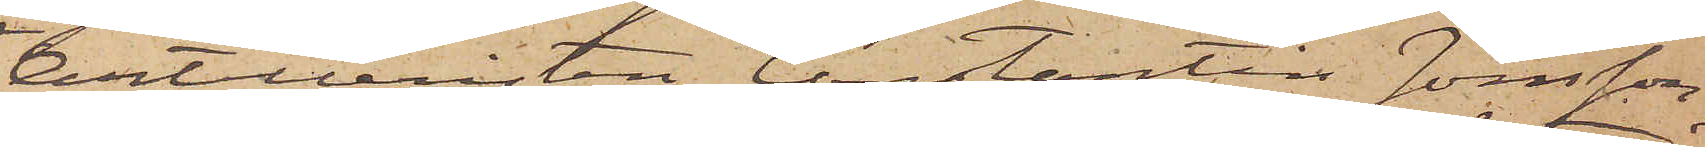Artilleristen Constantin Jonsson,
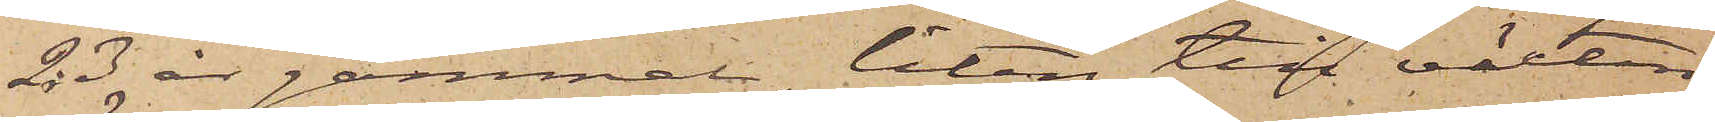23 år gammal, liten till växten,
